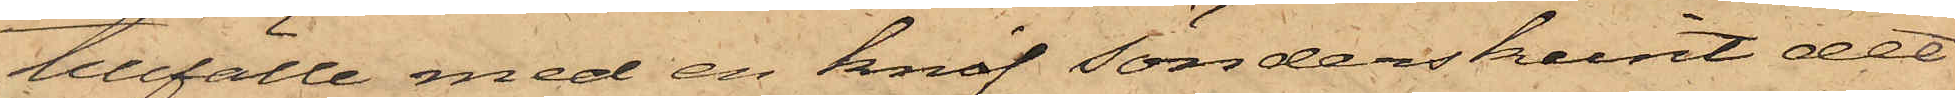tillfälle med en knif sönderskurit det
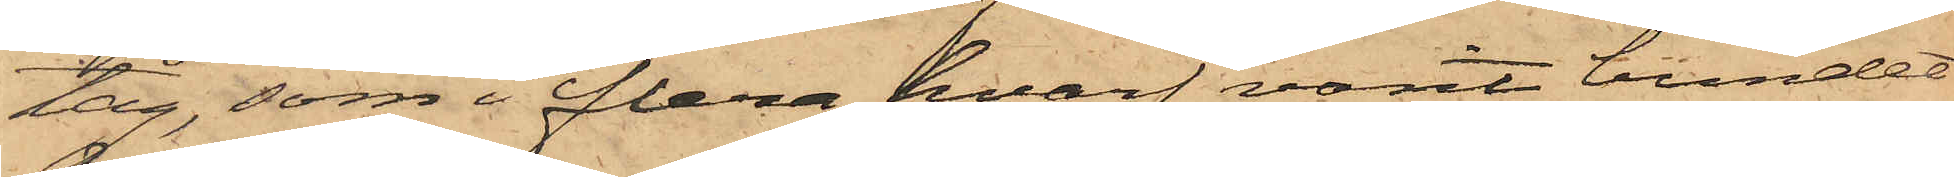tåg, som i flera hvarf varit bundet
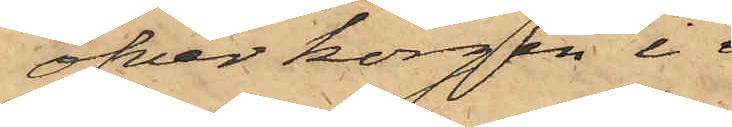öfver korgen i 
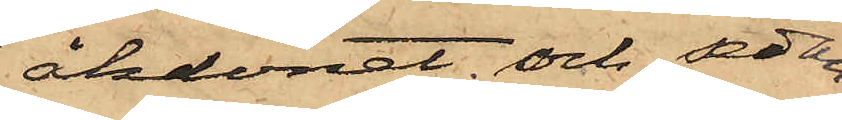åkdonet och, sedan
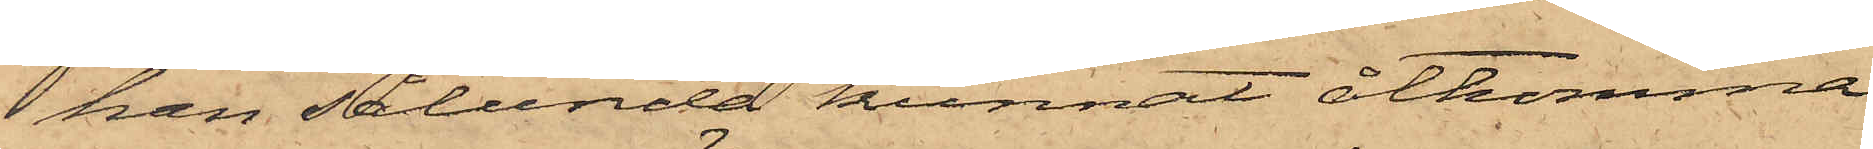han sålunda kunnat åtkomma
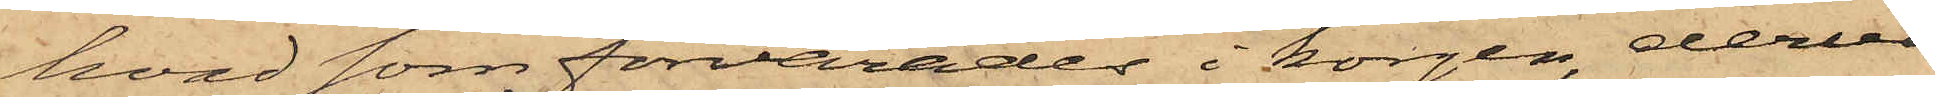hvad som förvarades i korgen, derur
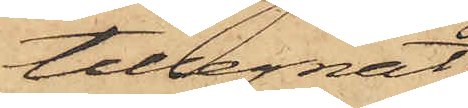tillegnat
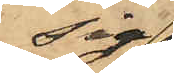sig
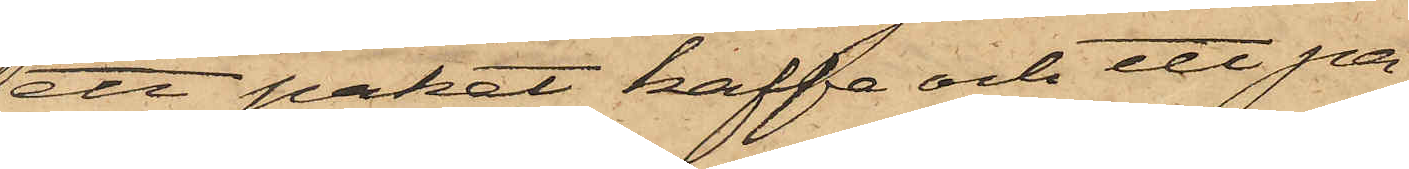ett paket kaffe och ett pa¬
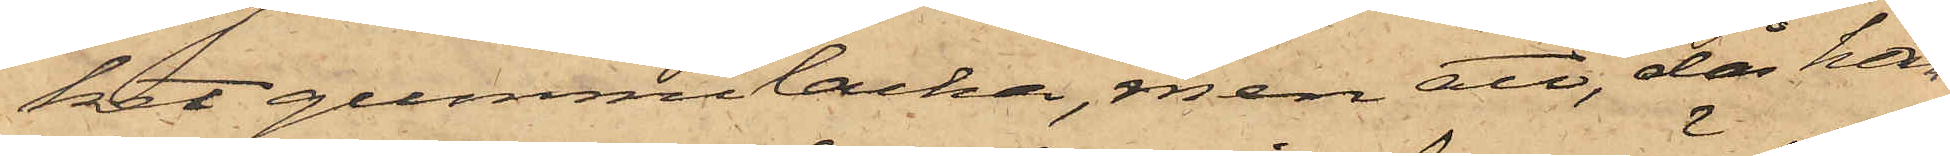ket gummilacka, men att, då han
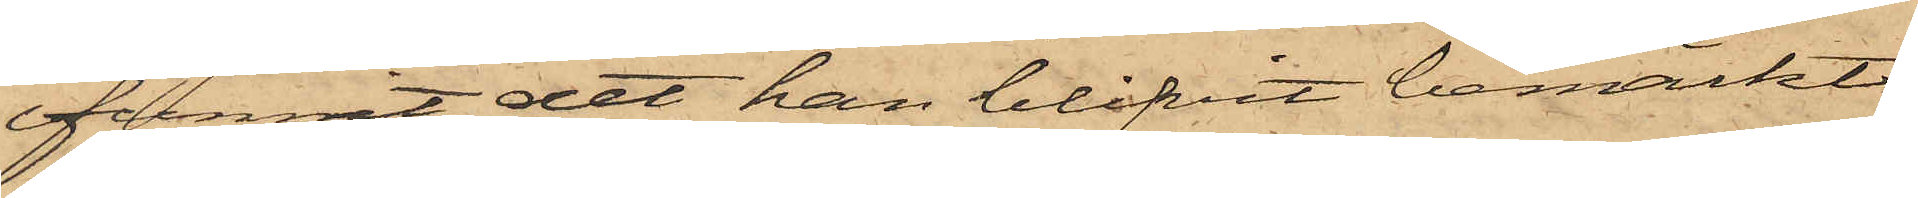funnit det han blifvit bemärkt,
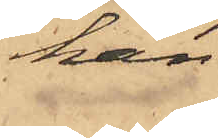han
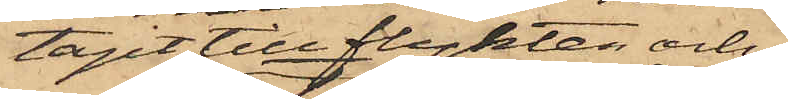tagit till flykten och
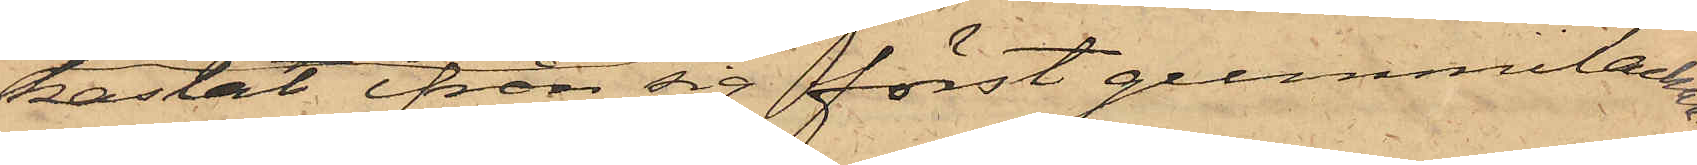kastat ifrån sig först gummilackan
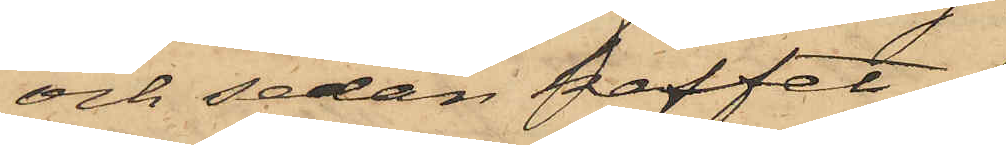och sedan kaffet.
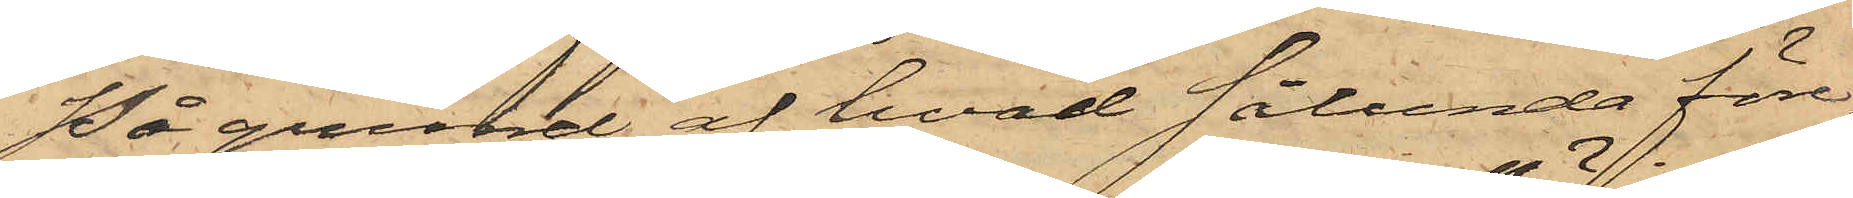På grund af hvad sålunda före¬
